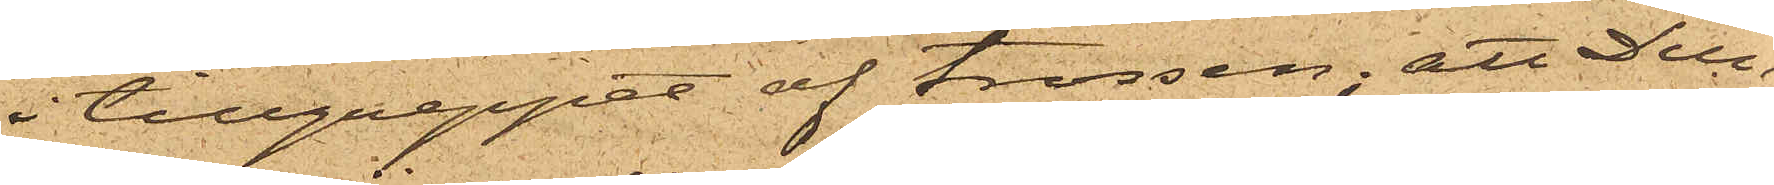i tillgreppet af trossen; att Dun¬
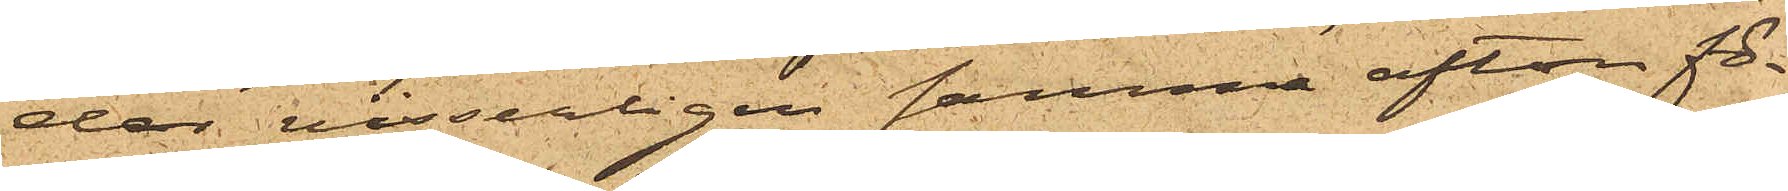der visserligen samma afton fö¬
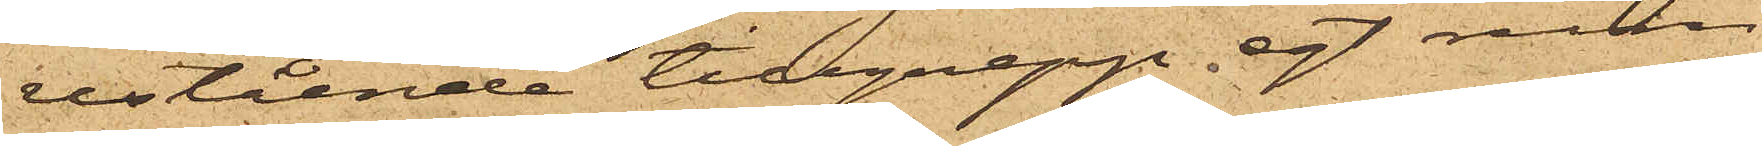restående tillgrepp egt rum,
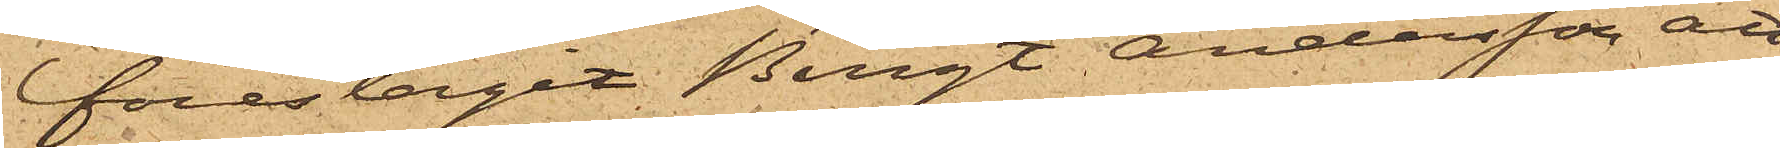föreslagit Bengt Andersson att
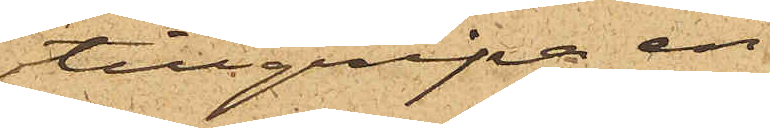tillgripa en
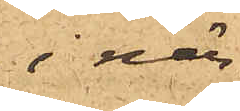i när¬
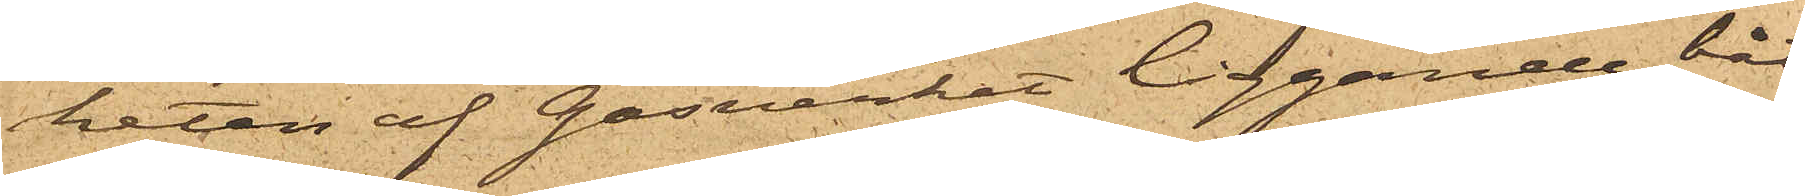heten af Gasverket liggande båt,
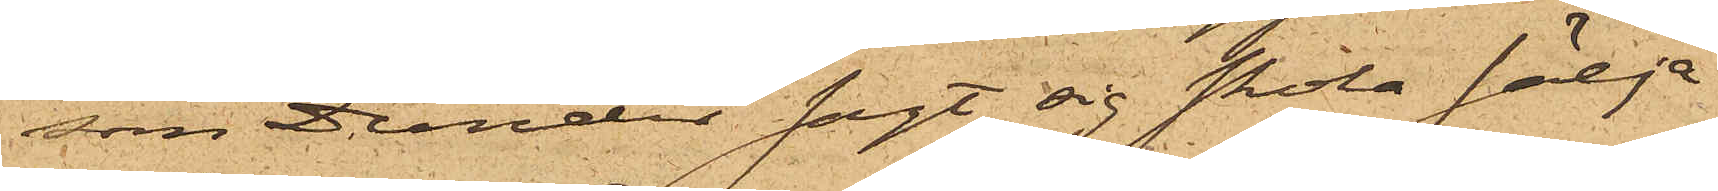som Dunder sagt sig skola sälja
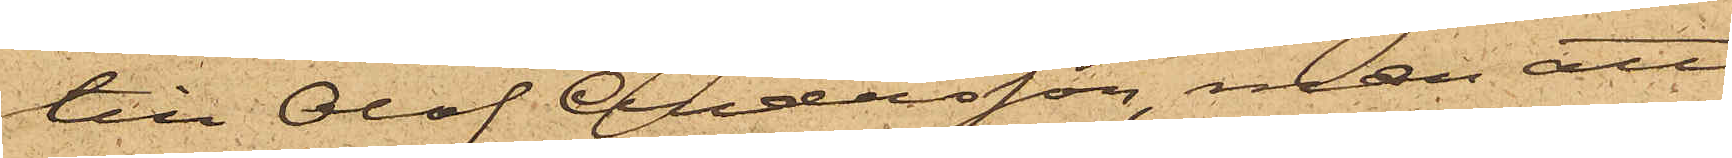till Olof Andersson, men att
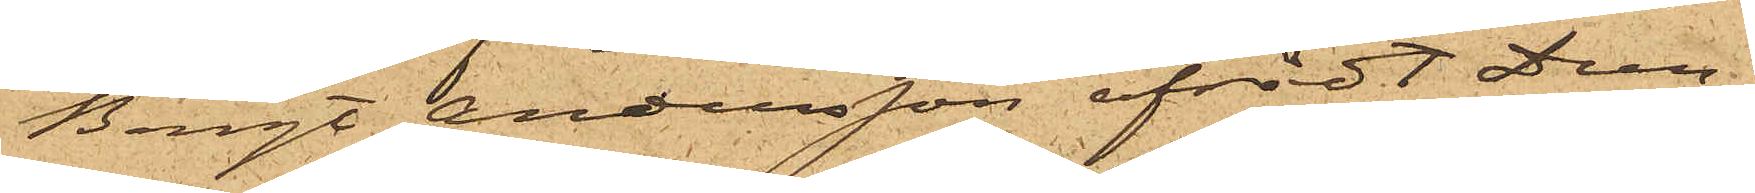Bengt Andersson afrådt Dun¬
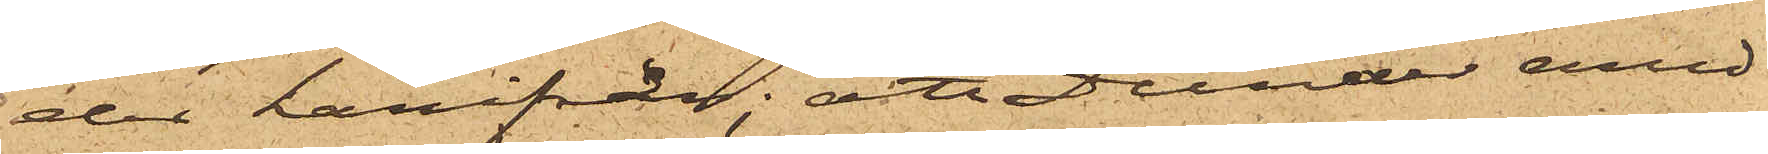der härifrån; att Dunder emed¬
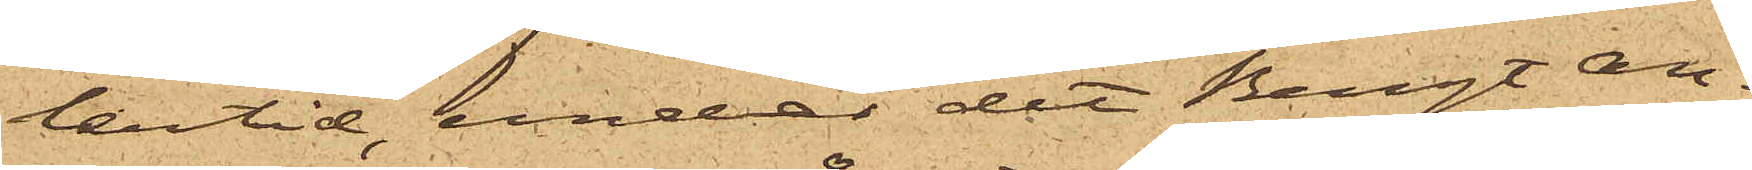lertid, under det Bengt An¬
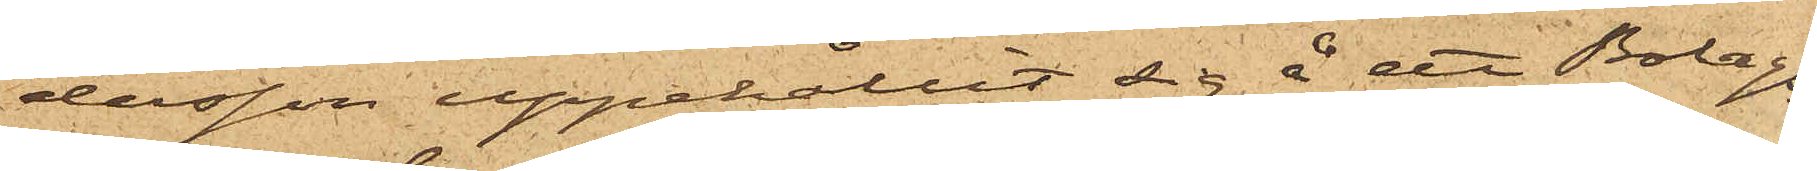dersson uppehållit sig å ett Bolags¬
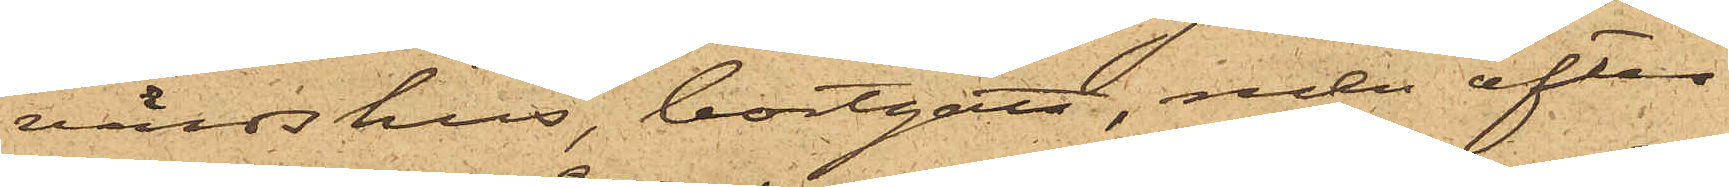värdshus, bortgått, men efter
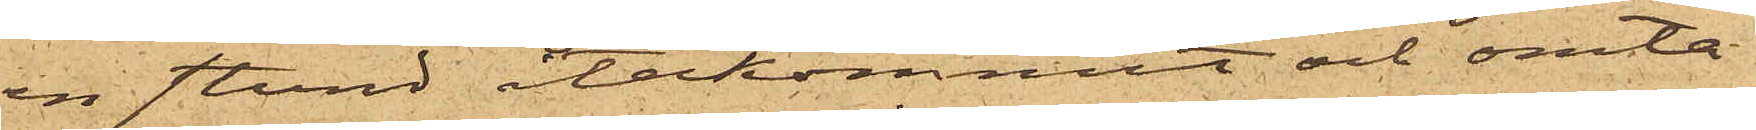en stund återkommit och omta¬
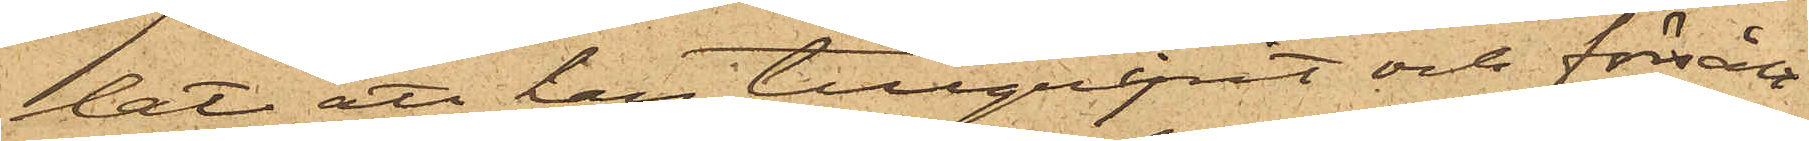lat att han tillgripit och försålt
